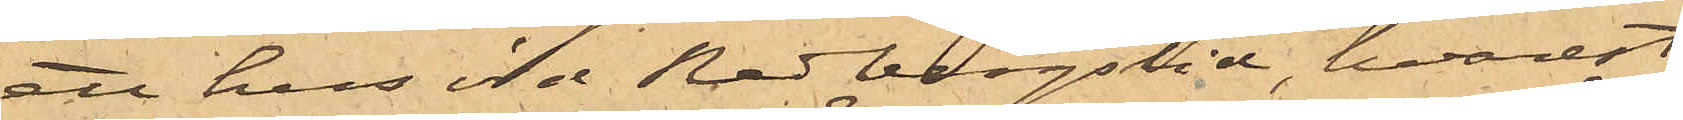ett hus vid Redbergslid, hvarest
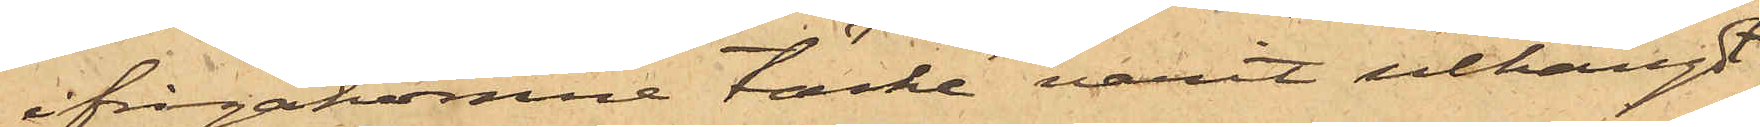ifrågakomne täcke varit uthängdt,
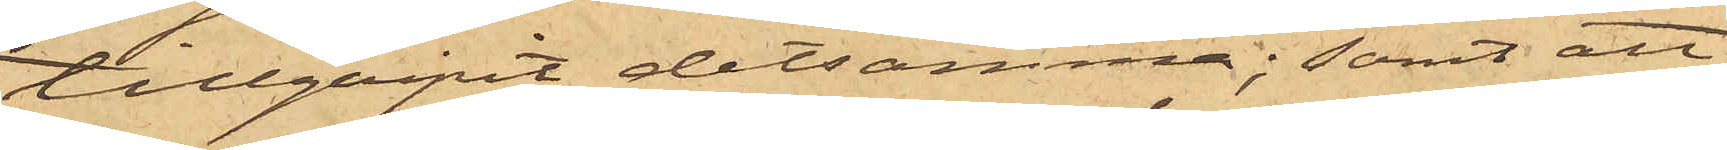tillgripit detsamma; samt att
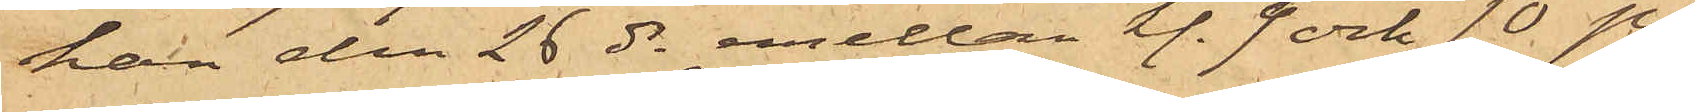han den 26 ds emellan kl. 9 och 10 på
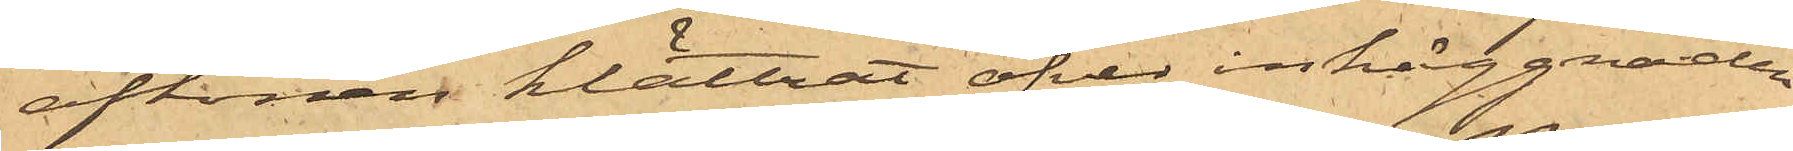aftonen klättrat öfver inhäggnaden
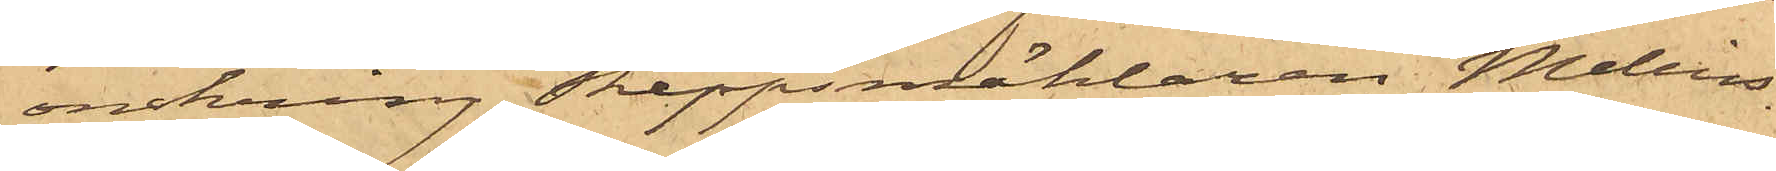omkring Skeppsmäklaren Melins
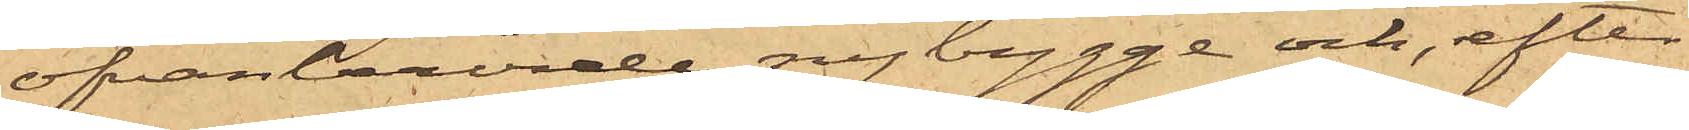ofvanberörde nybygge och, efter
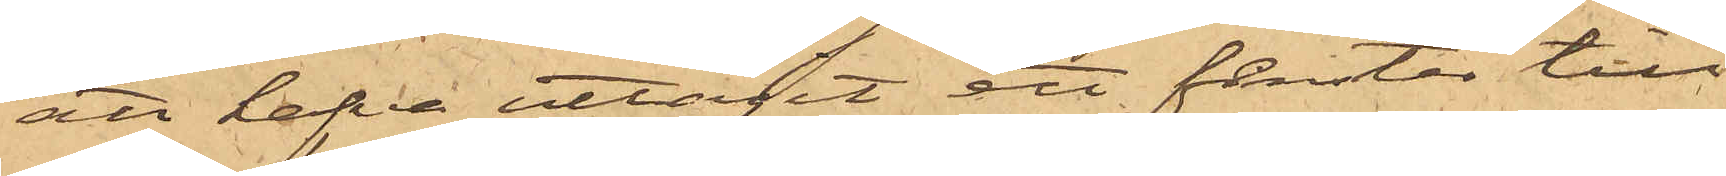att hafva uttagit ett fenster till
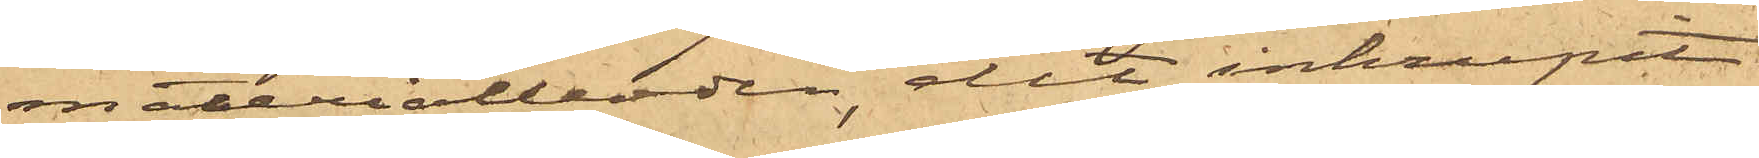materialboden, dit inkrupit
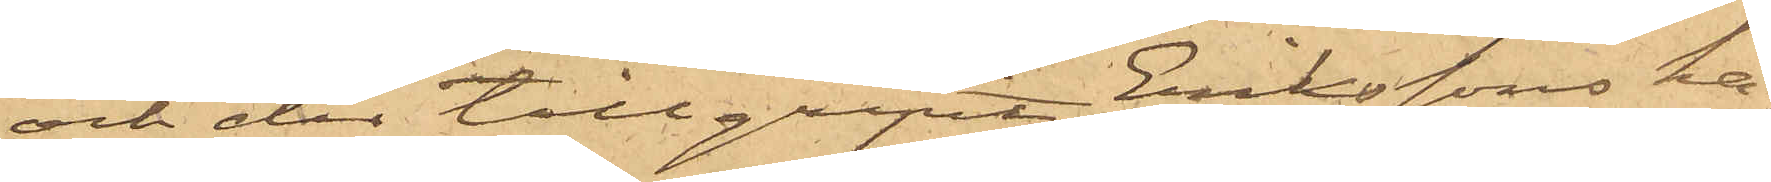och der tillgripit Erikssons ka¬
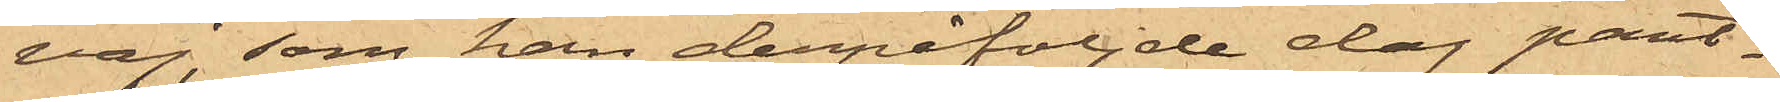vaj, som han derpåföljde dag pant¬
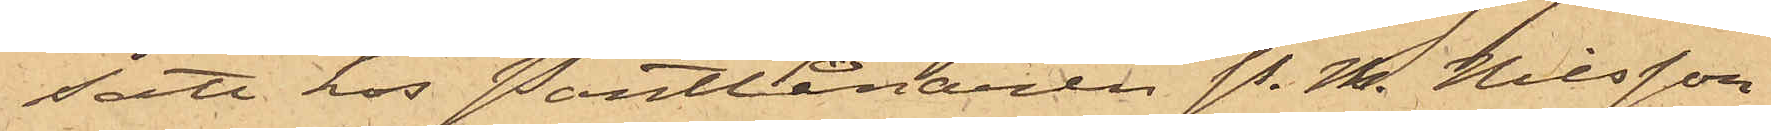satt hos Pantlånaren P. M. Nilsson
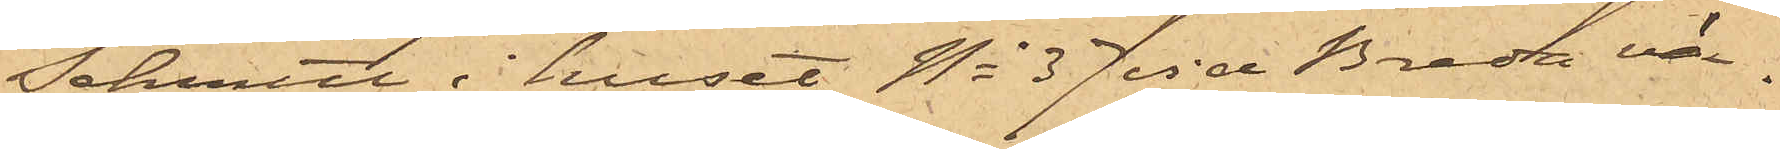Schmitt i huset No 37 vid Breda vä¬
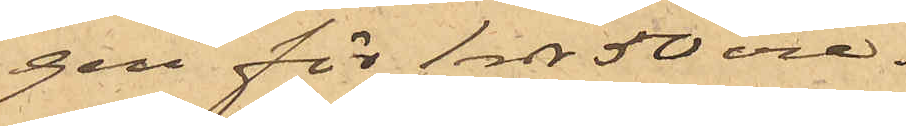gen för 1 rdr 50 öre.
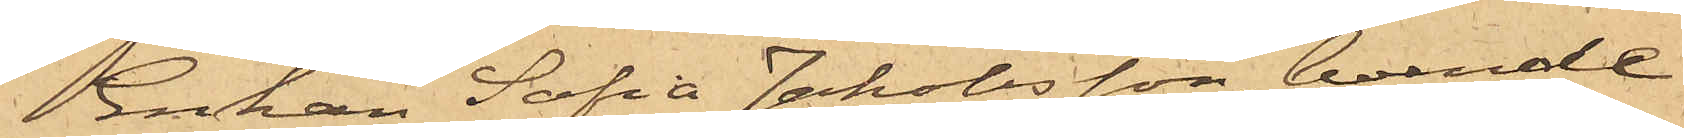Enkan Sofia Jakobsson, boende
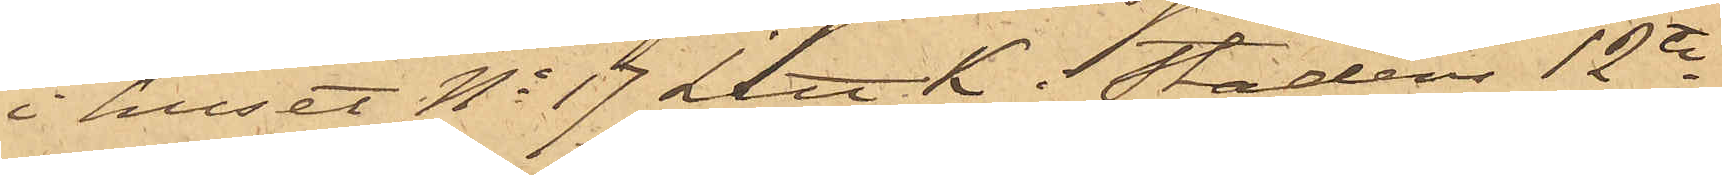i huset No 17 Litt K i Stadens 12te
